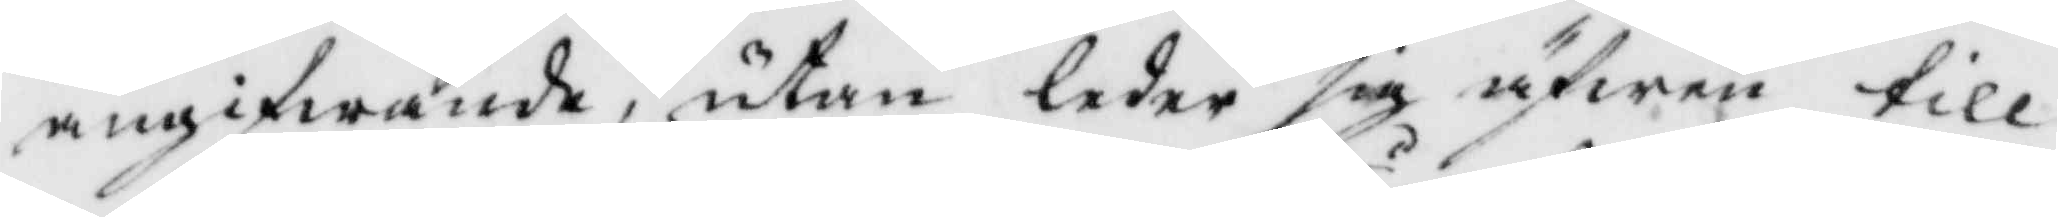angifwande, utan leder sig äfwen till
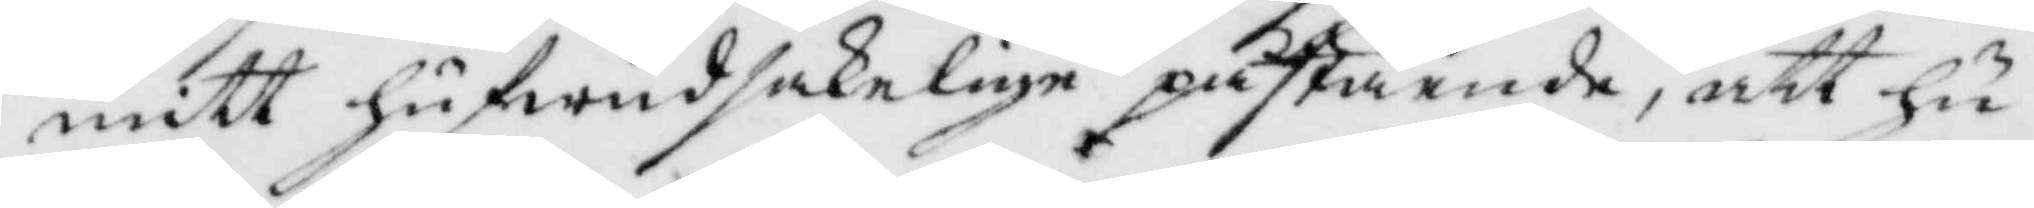mitt hufwudsakelie påstående, att hu¬
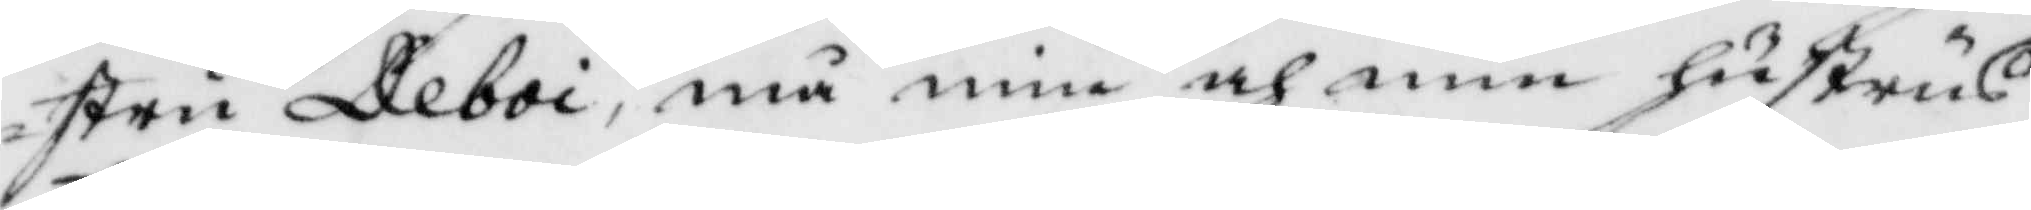stru Deboi, må min och min hustrus
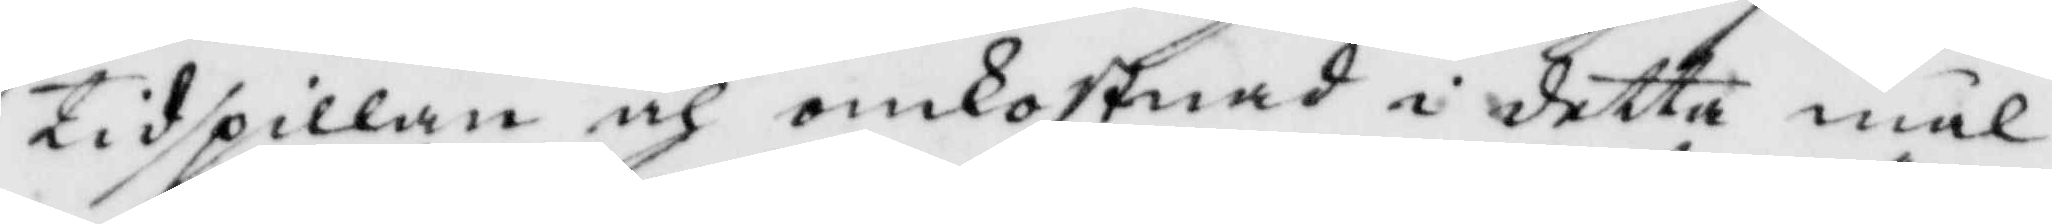tidspillan och omkostnad i detta mål
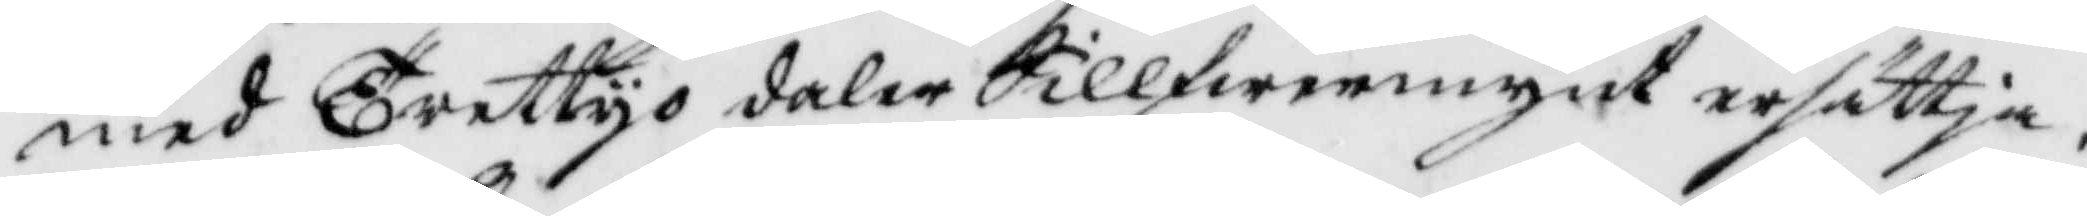med trettyo daler Sillfwermynt ersättja.
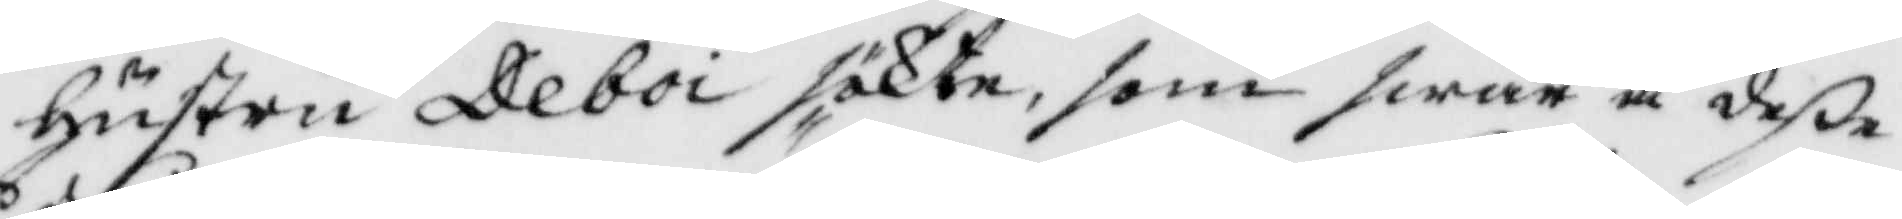Hustru Deboi sökte, som swar å dee
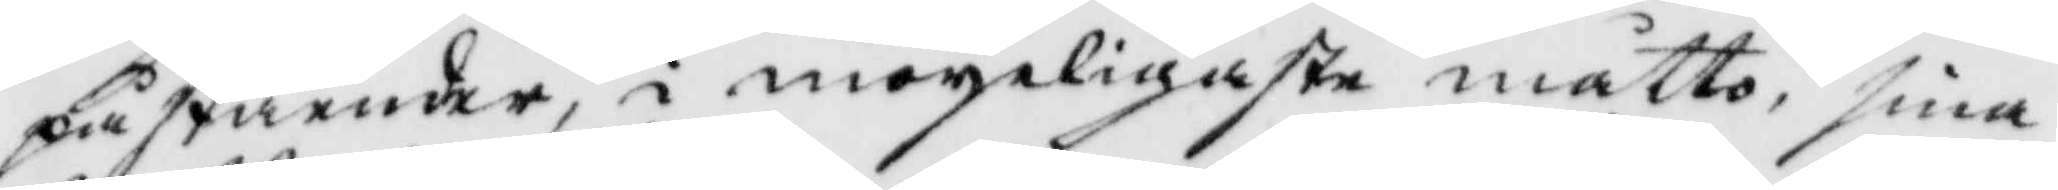påståenden, i moyeligatse måtto, sina
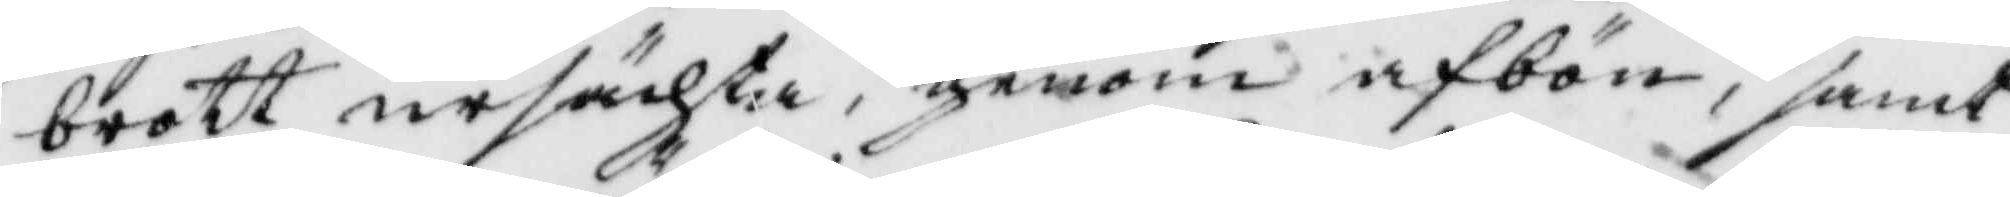brott ursächta, genom afbön, samt
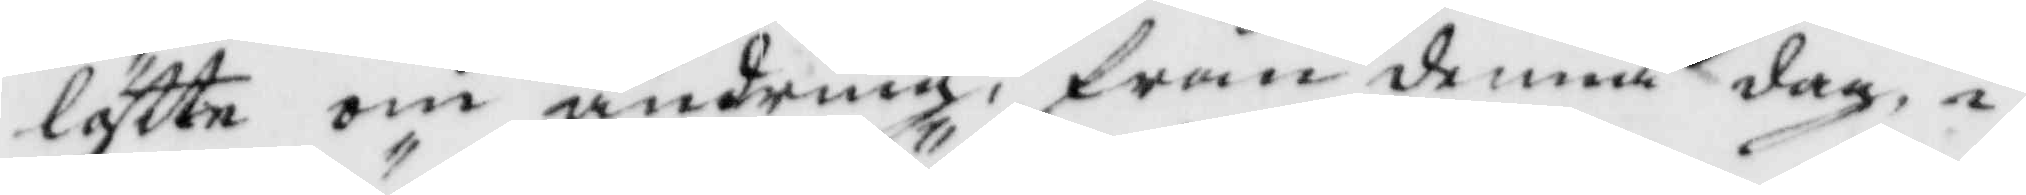löftte om ändring, från denna dag, i
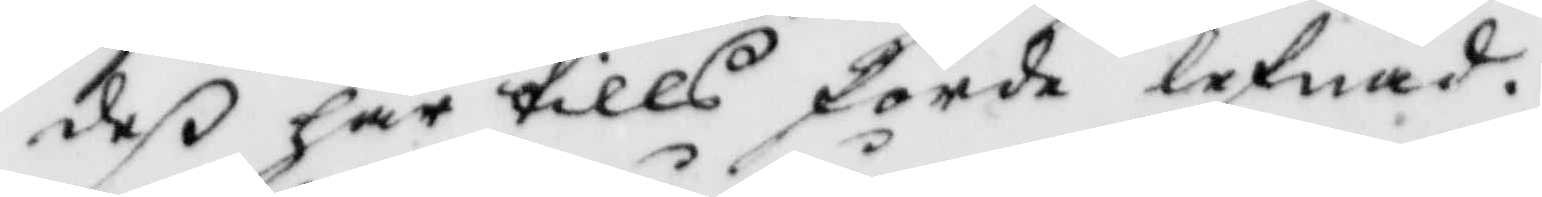de här tills förda lefnad.
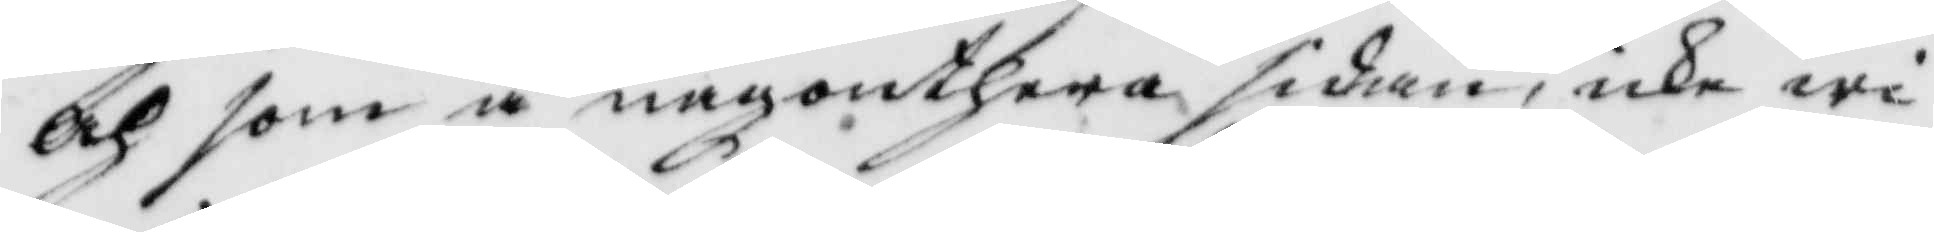Och som å någonthera sidan, icke wi¬
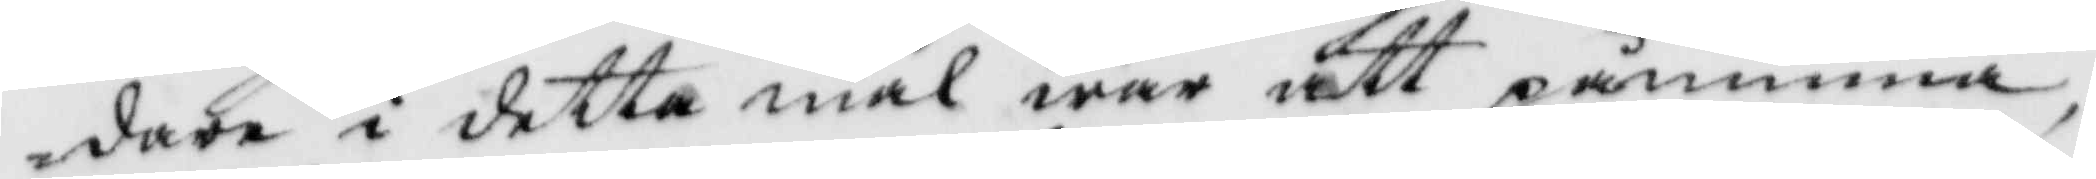dare i detta mål war att påminna,
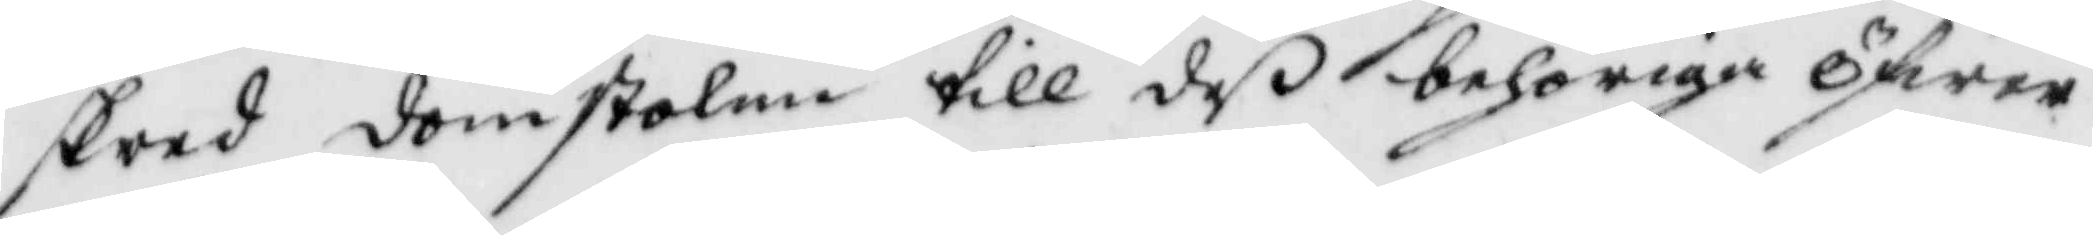skred domstolen till de behöriga öfwer¬
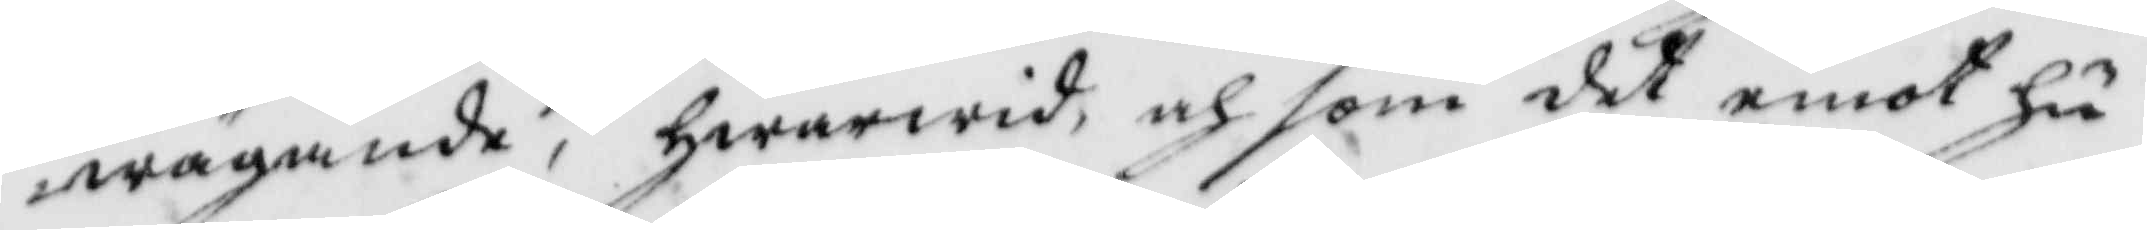wägande, hwarwid, och som det emot hu¬
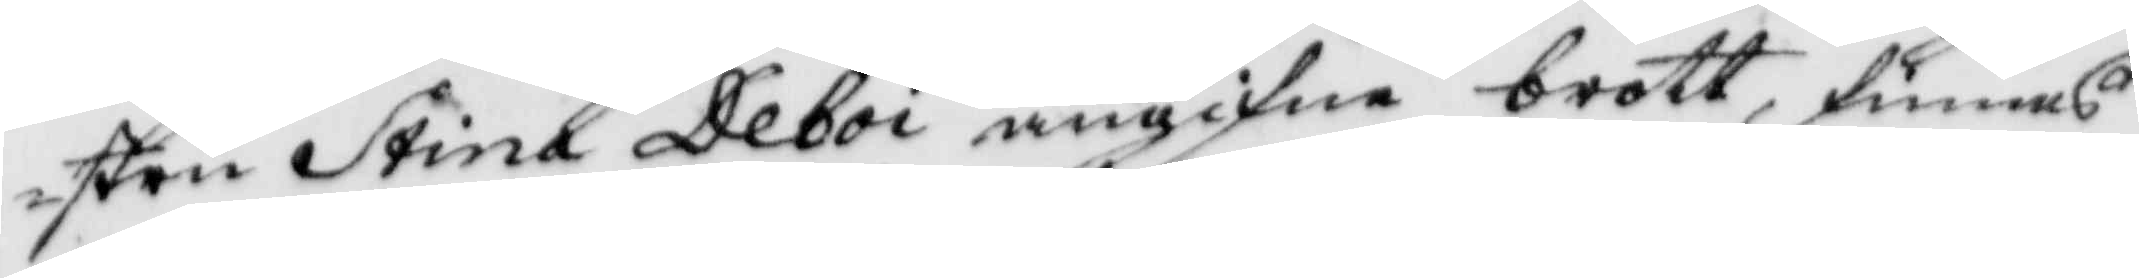stru Stina Deboi angifne brott, finnes
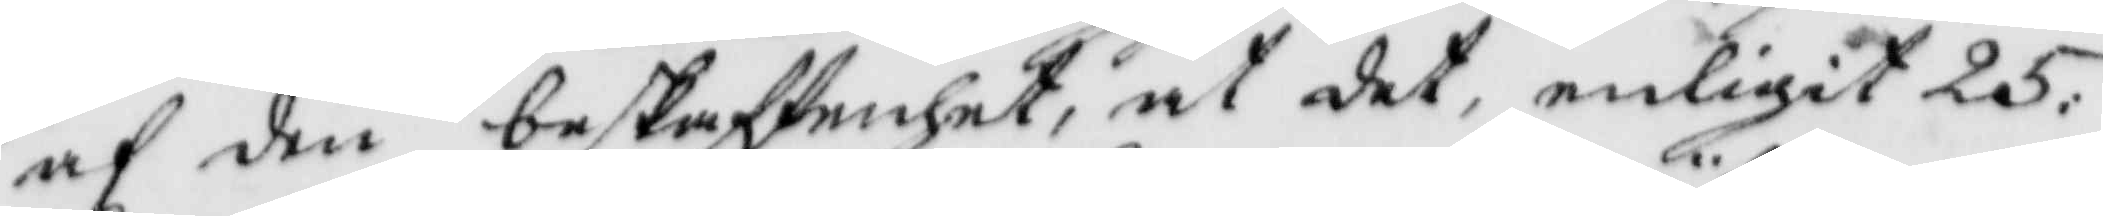af den beskaffenhet, at det, enligit 25:
